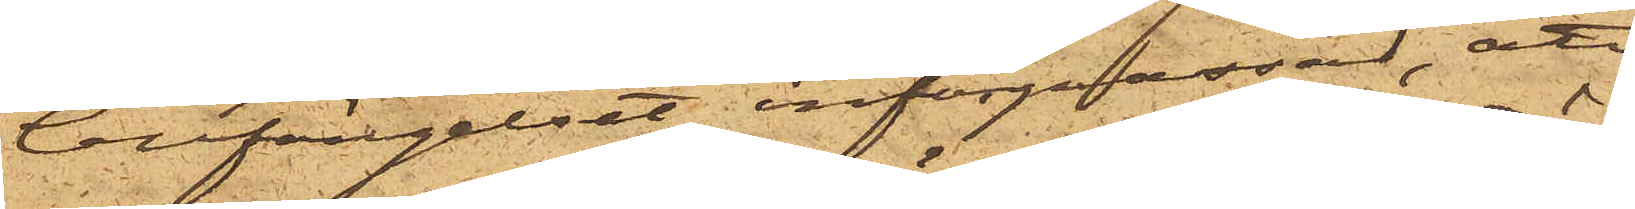Cellfängelset införpassad, att
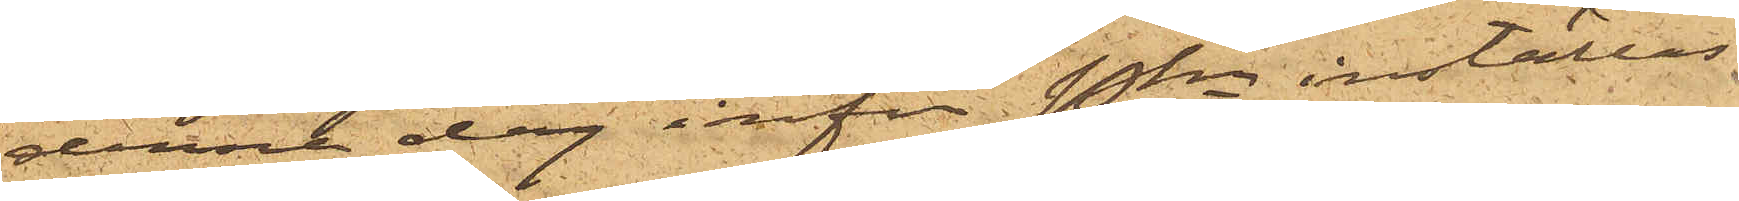denna dag inför Pkn inställas.
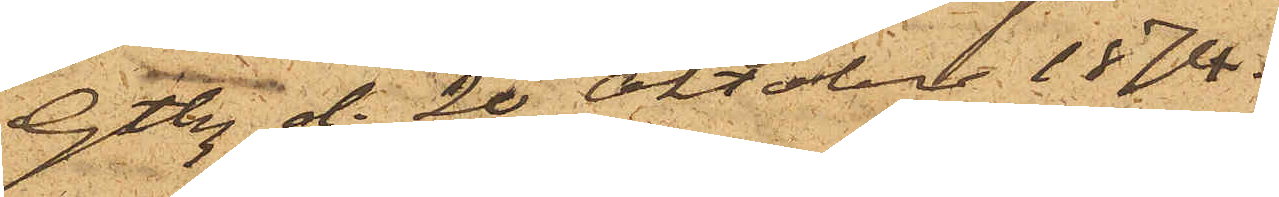Gtbg d. 20 Oktober 1874.
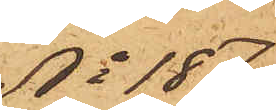No 187
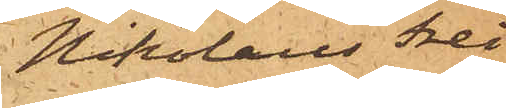Nikolaus Frei¬
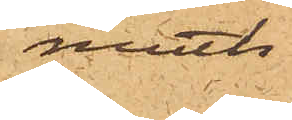moth
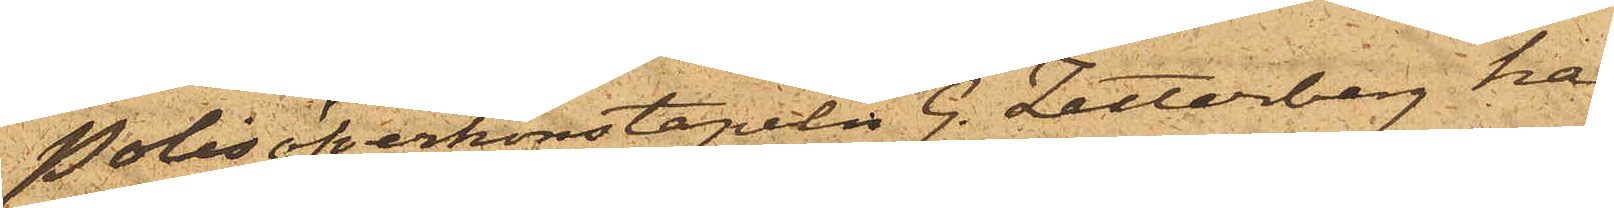Polisöverkonstapeln G. Zetterberg har
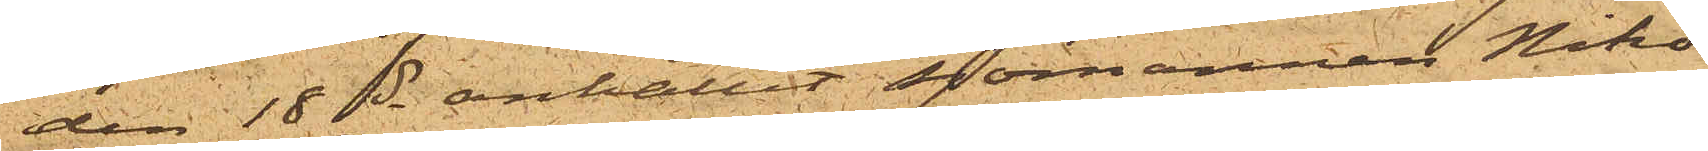den 18 ds anhållit sjömannen Niko¬
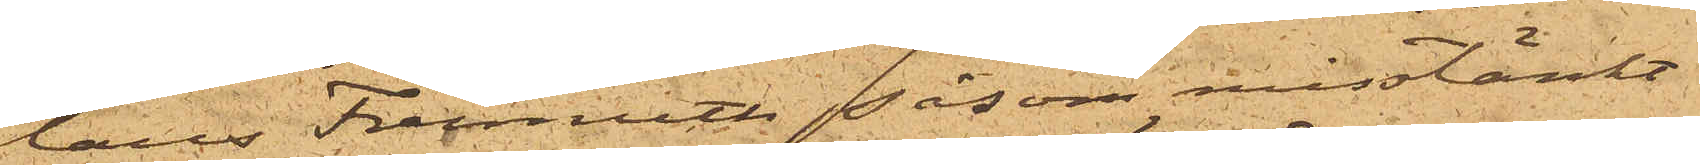laus Freimoth såsom misstänkt
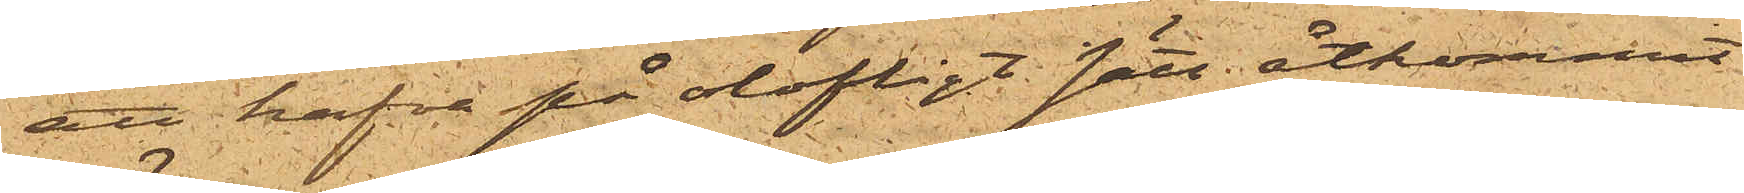att hafva på olofligt sätt åtkommit
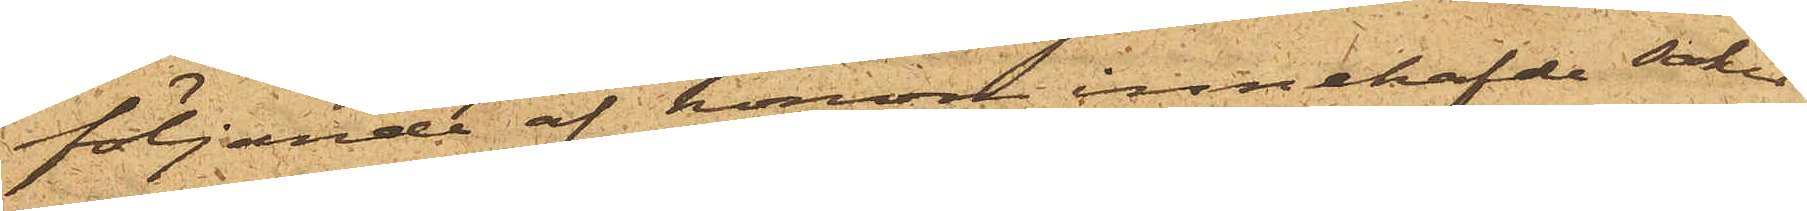följande af honom innehafde saker
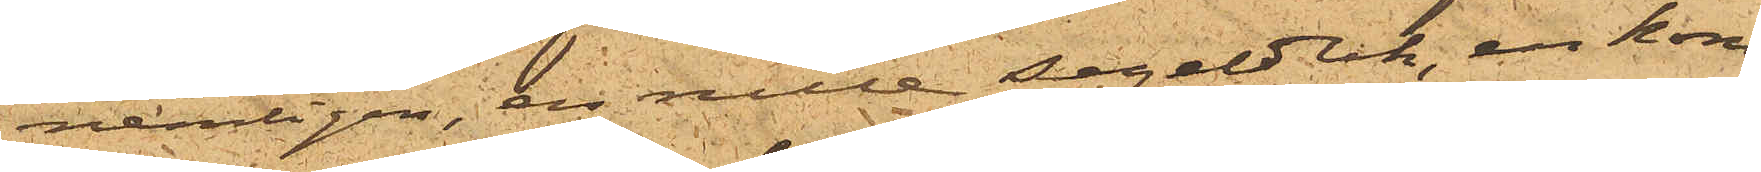nemligen, en rulle segelduk, en kom¬
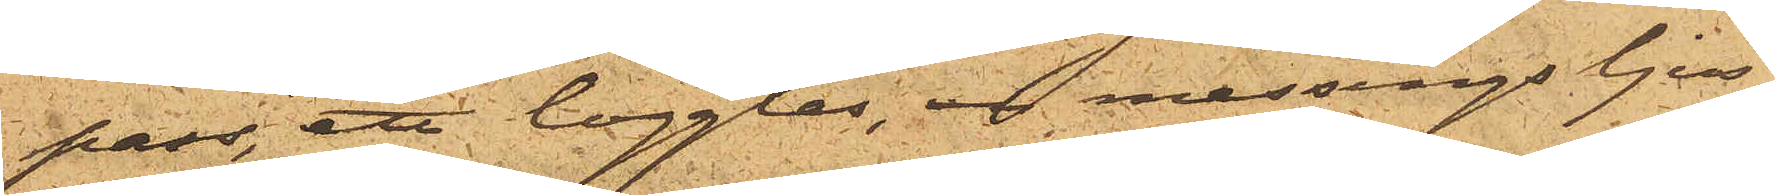pass, ett logglas, en messingsljus¬
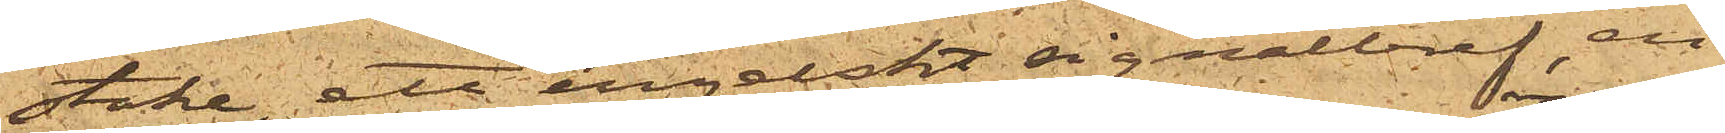stake, ett engelskt signalbref, en
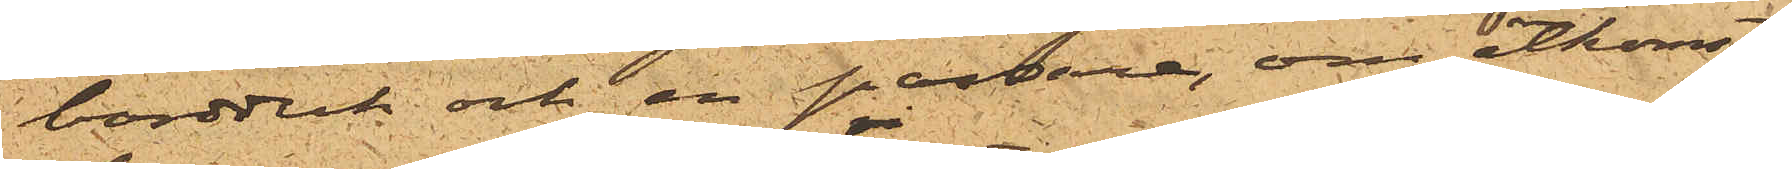bordduk och en passare, om åtkomst
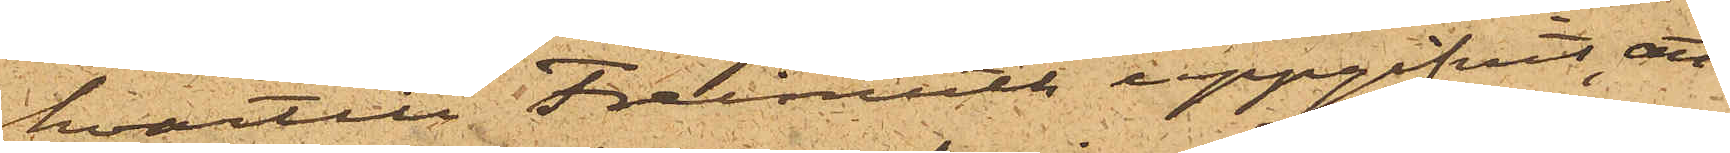hvartill Freimoth uppgifvit, att
